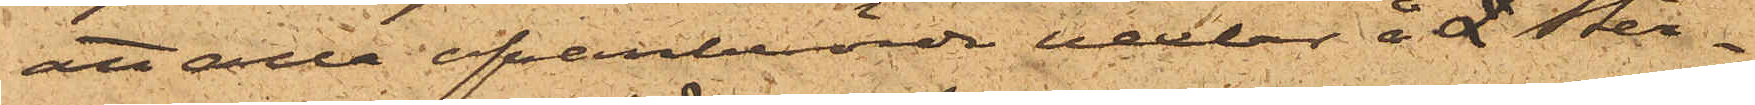att alla ofvanberörde vexlar å £ Ster¬
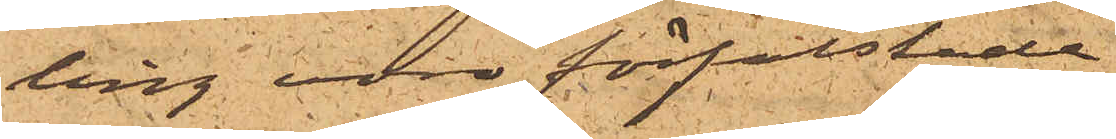ling voro förfalskade.
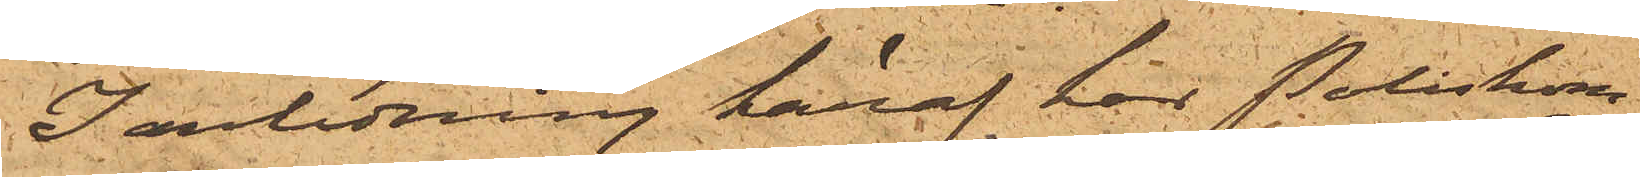I anledning häraf har Poliskom¬
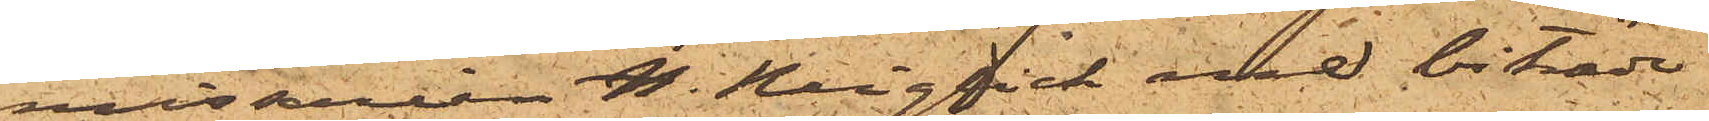missarien H. Nyqvist med biträde
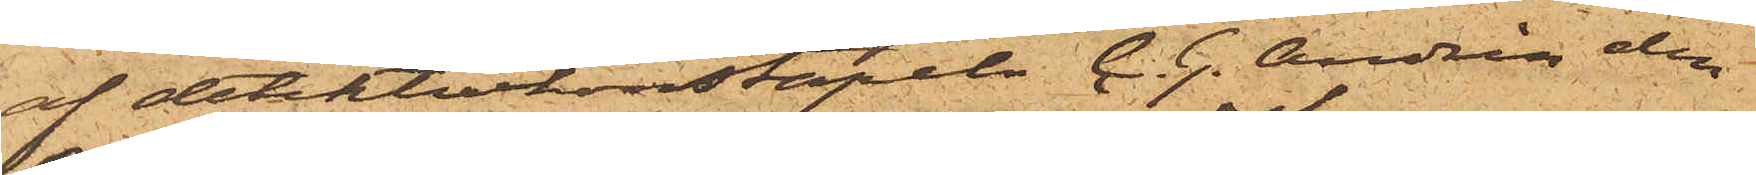af detektivkonstapeln C. G. Andrén den
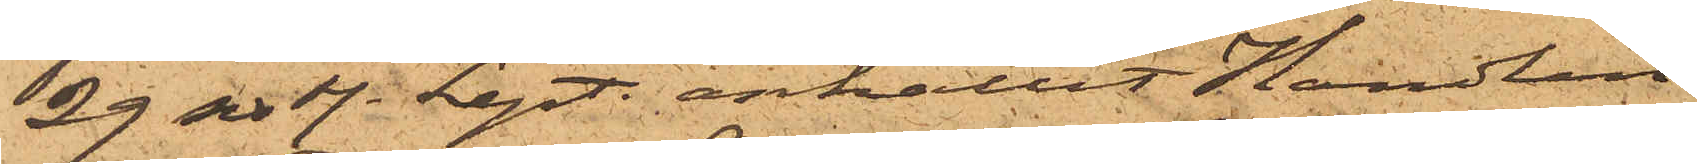29 sist. Sept. anhållit Handlan¬
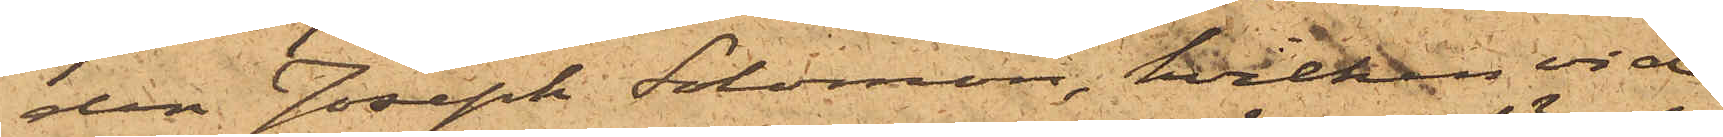den Joseph Solomon, hvilken vid
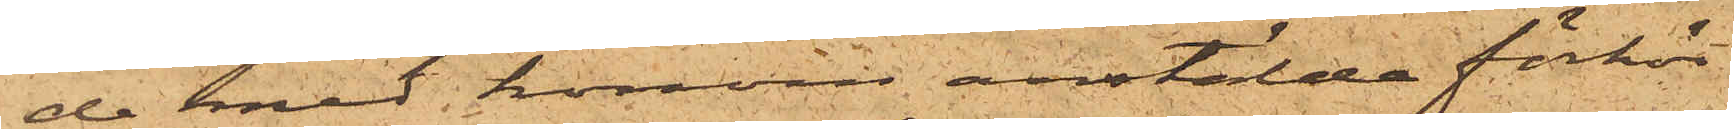de med honom anstälde förhör
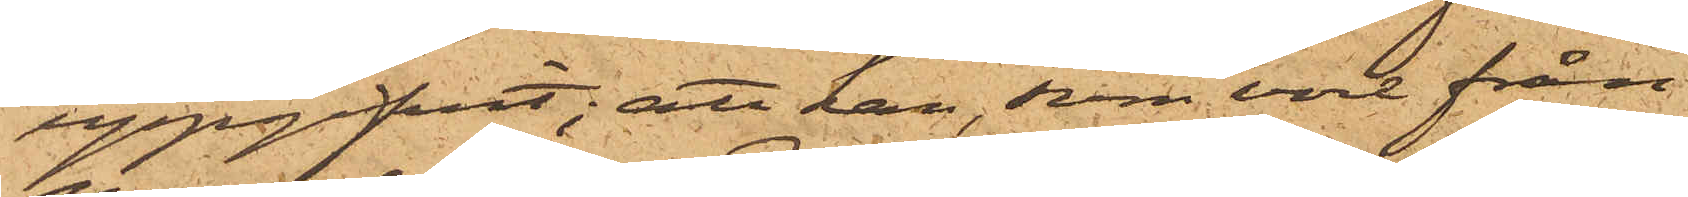uppgifvit; att han, som vore från
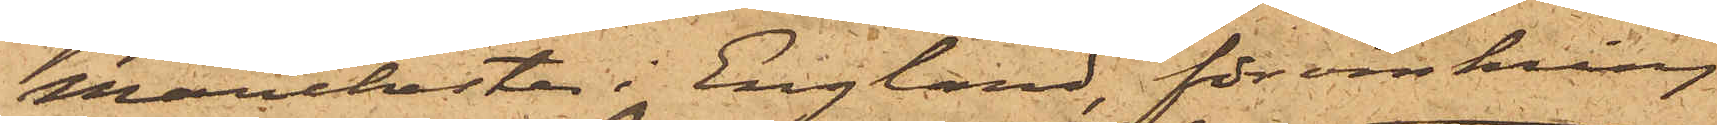Manchester i England, för omkring
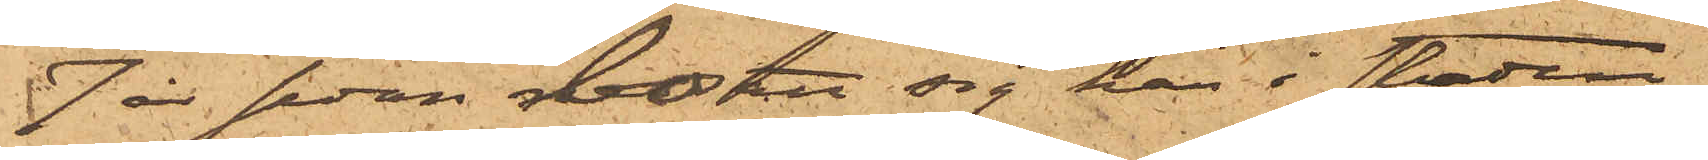7 år sedan bosatt sig här i staden,
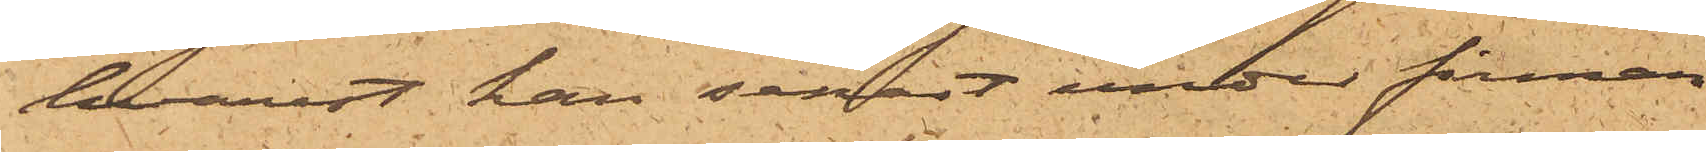hvarest han senast under firman
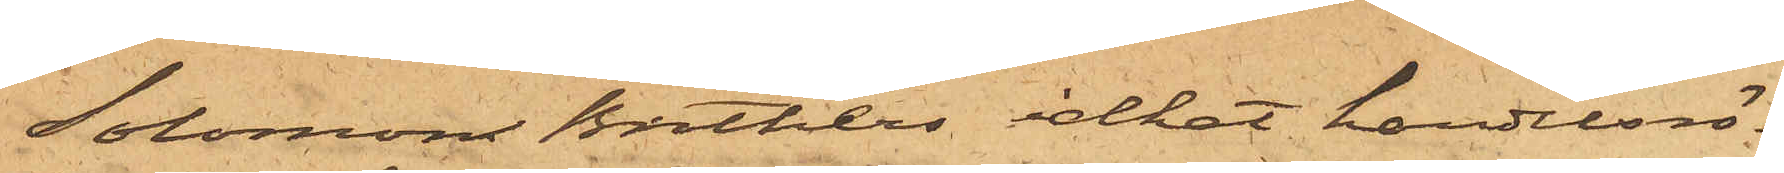Solomon Brothers idkat handelsrö¬
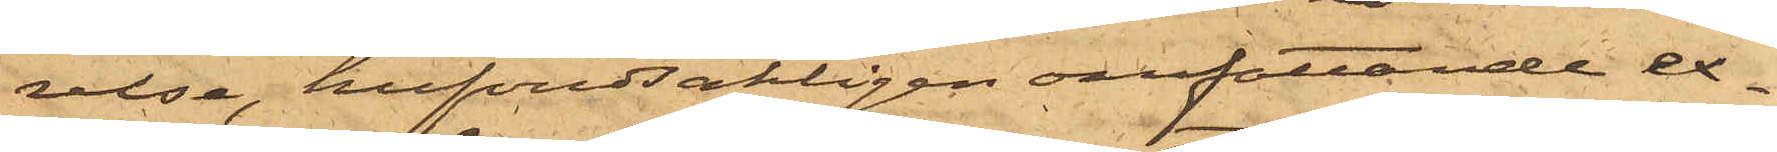relse, hufvudsakligen omfattande ex¬
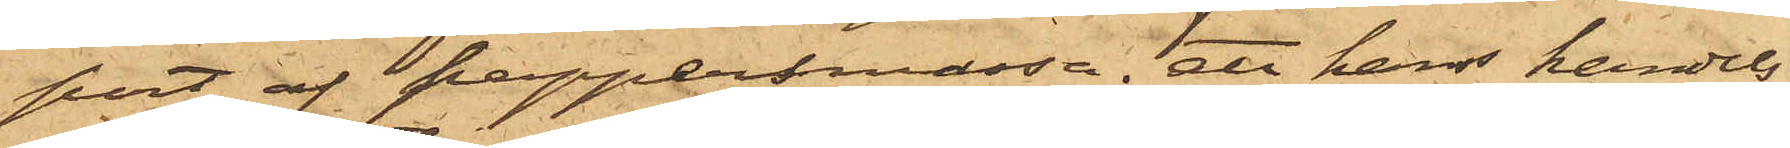port af pappersmassa; att hans handels¬
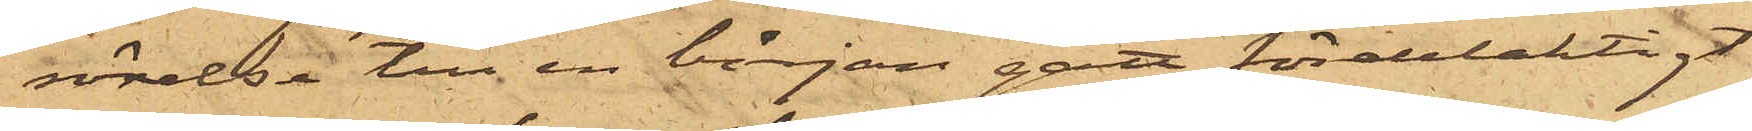rörelse till en början gått fördelaktigt
